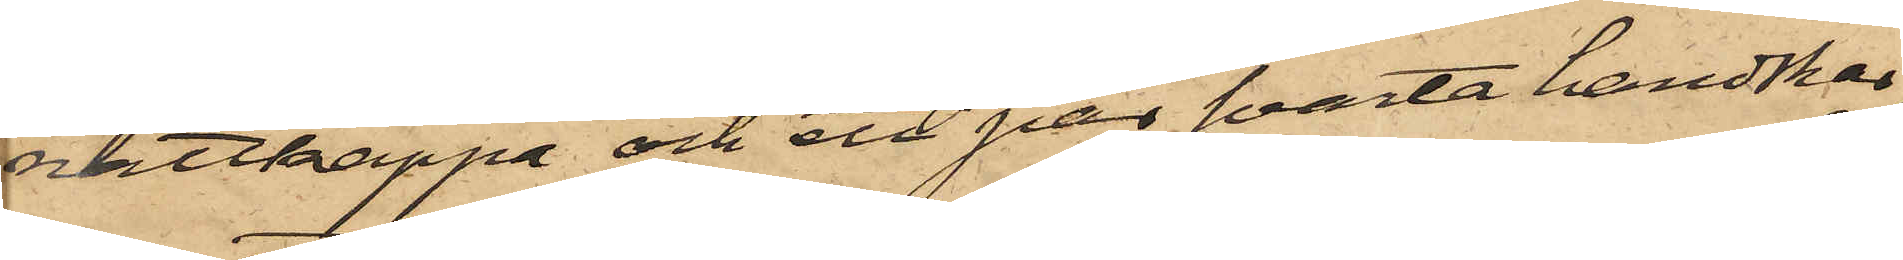nattkappa och ett par svarta handskar,
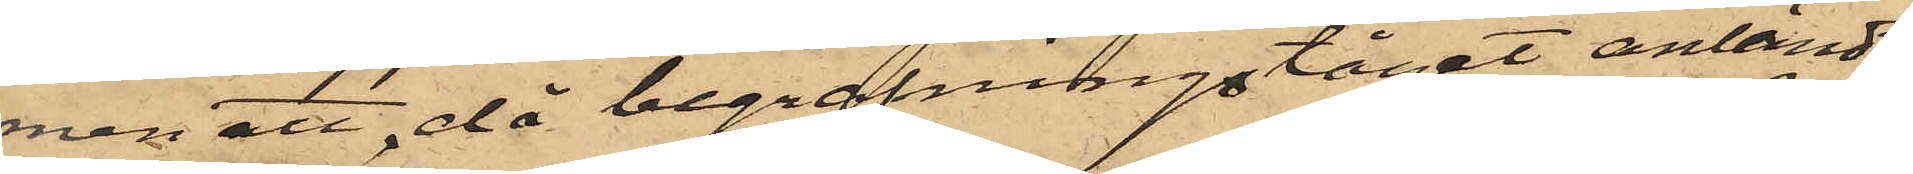men att, då begrafningståget anländt
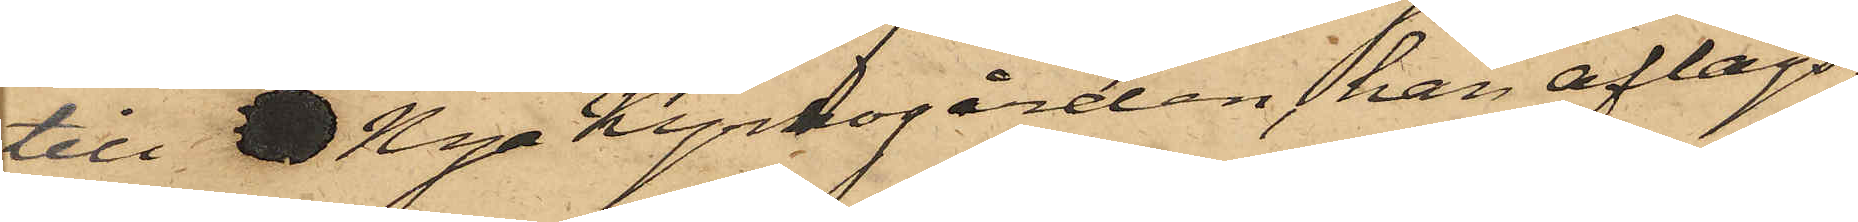till Nya Kyrkogården, han aflägs¬
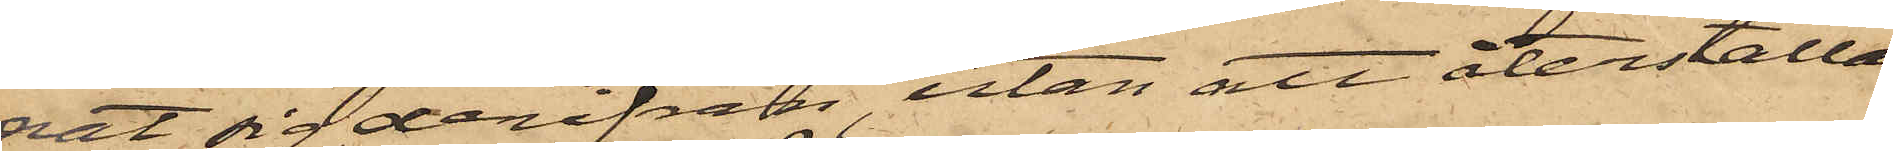nat sig derifrån, utan att återställa
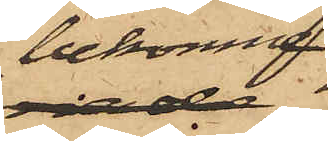bekomne
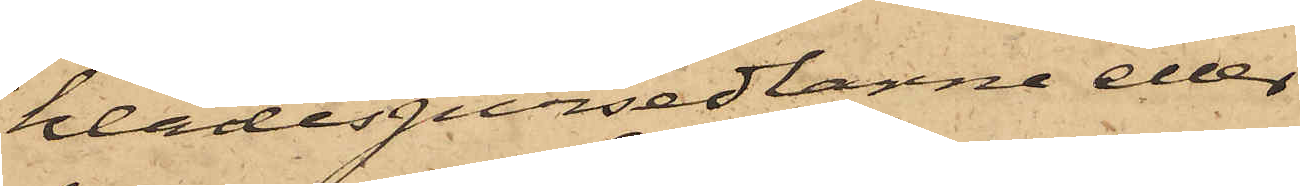klädespersedlarne eller
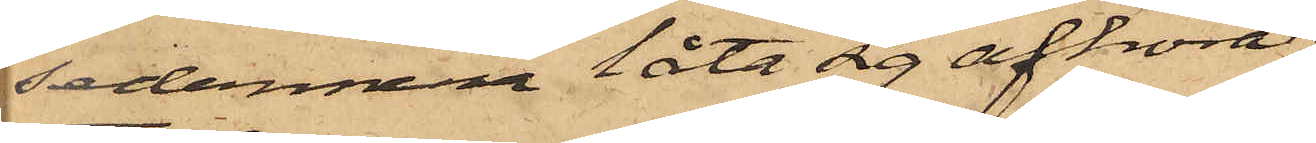sedermera låta sig afhöra;
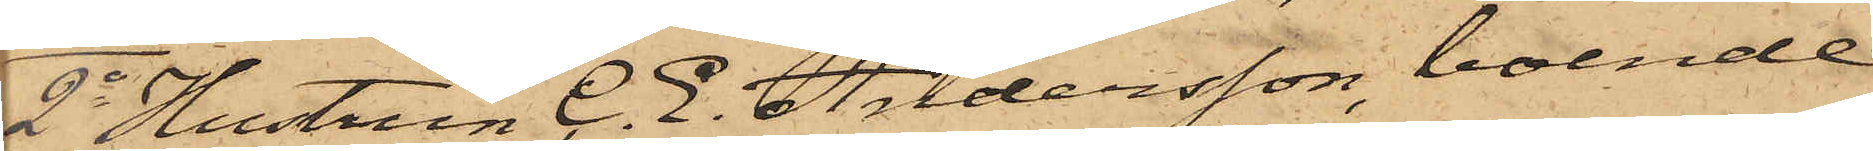2o Hustrun C. E. Andersson, boende
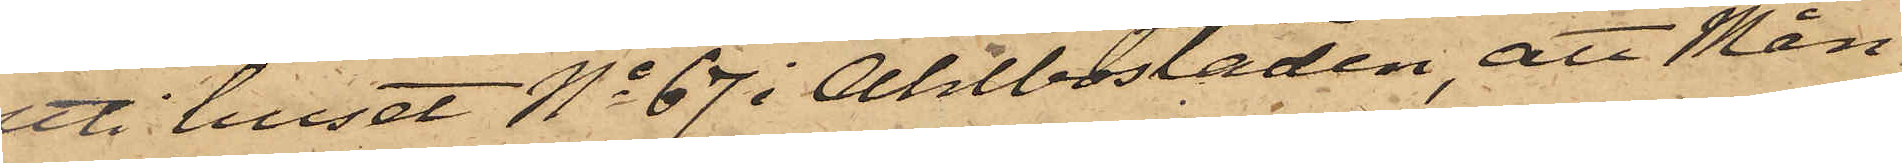uti huset No 67 i Ahlbostaden, att Mån¬
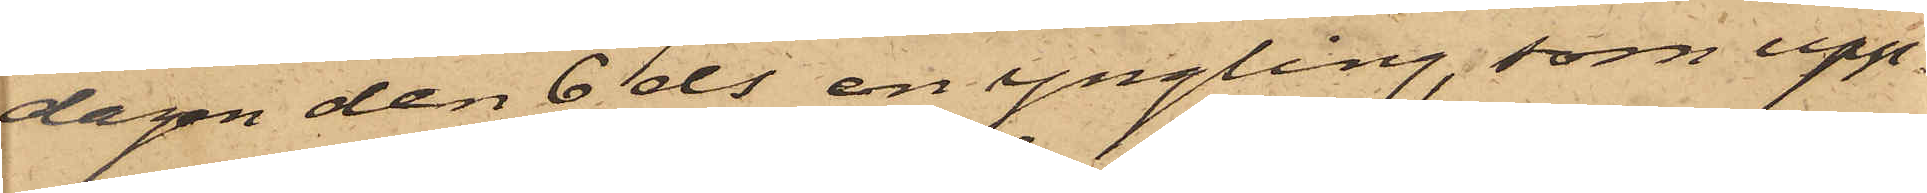dagen den 6 ds en yngling, som upp¬
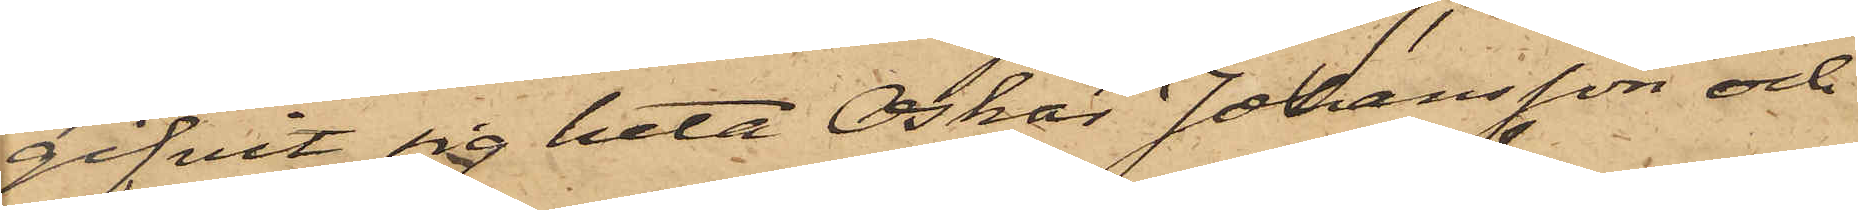gifvit sig heta Oskar Johansson och
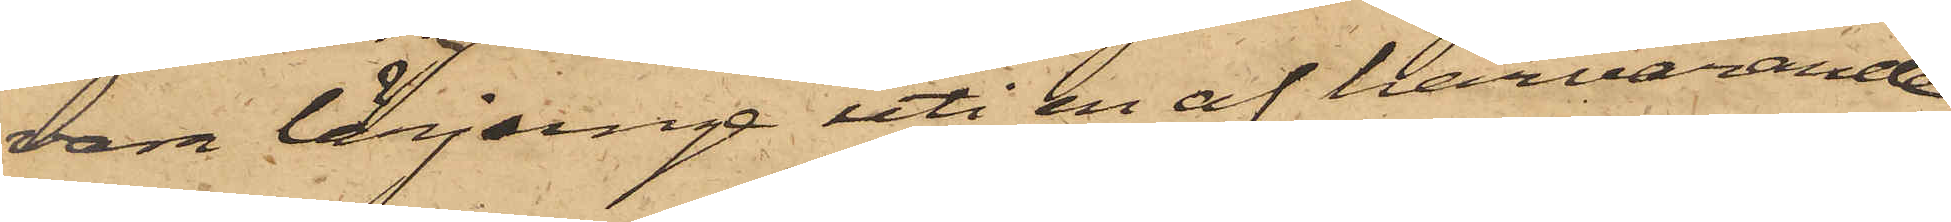vara lärjunge uti en af härvarande
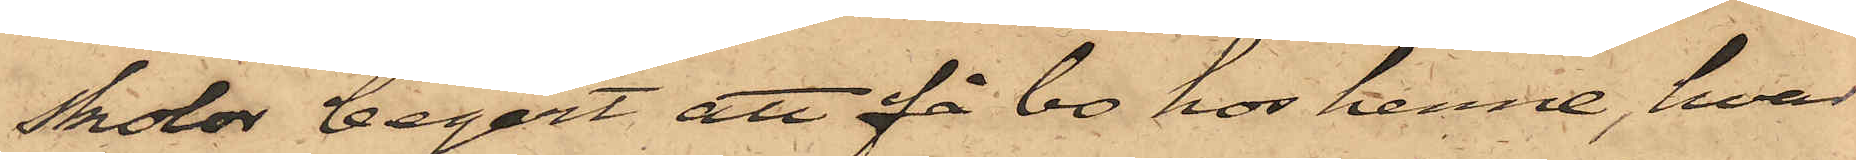skolor begärt att få bo hos henne, hvar¬
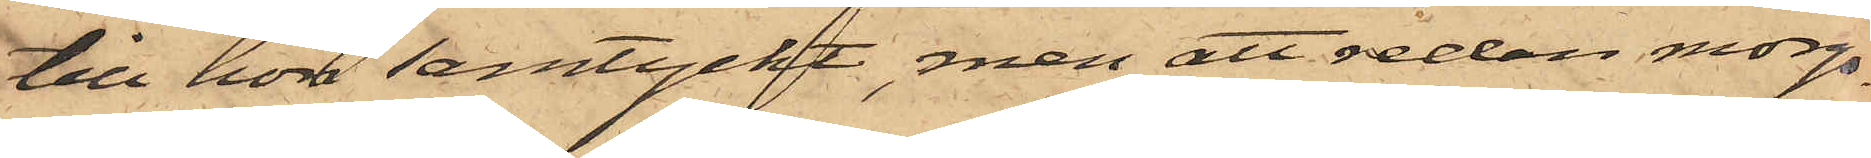till hon samtyckt, men att redan morgo¬
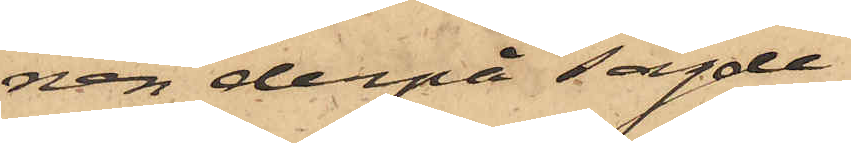nen derpå sagde
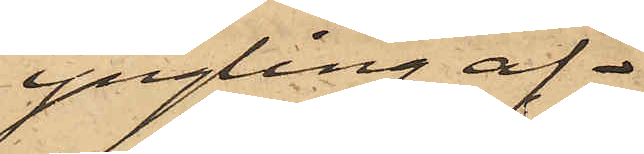yngling af¬
